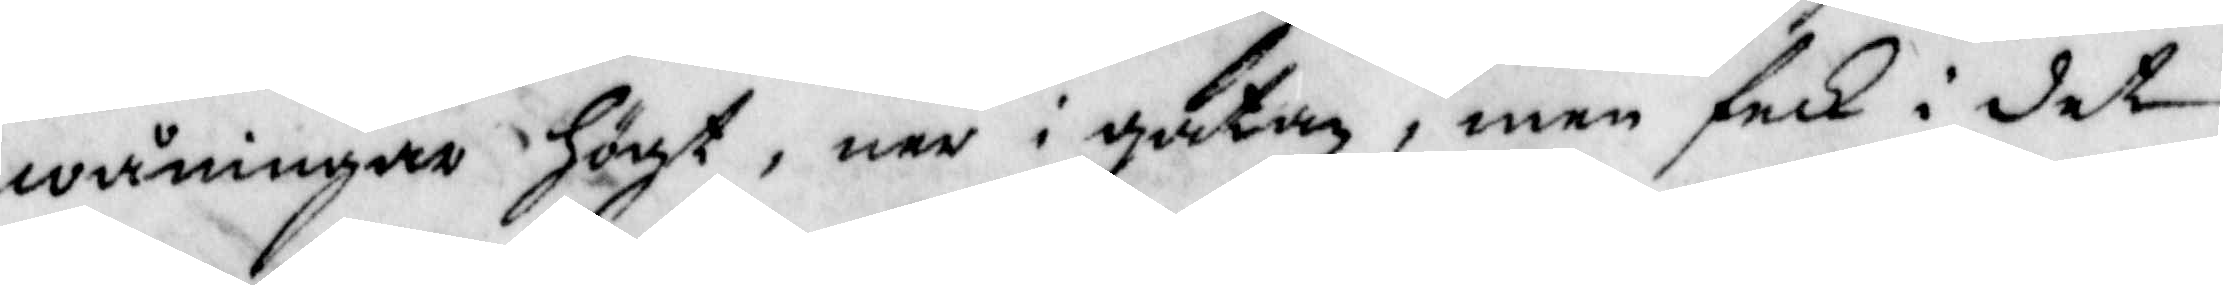wåningar Högt, ner i gatan, men feck i det
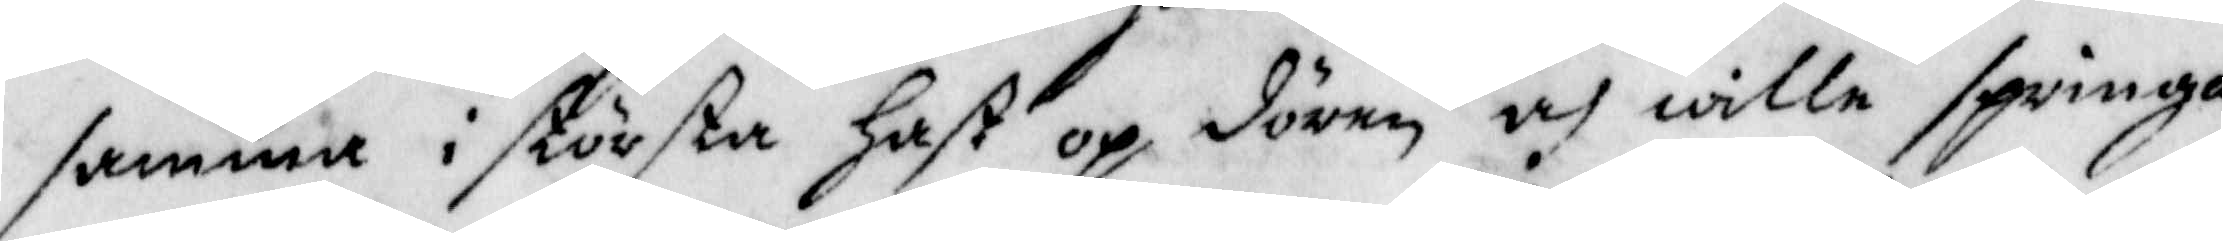samma i största hast op dören och wille springa
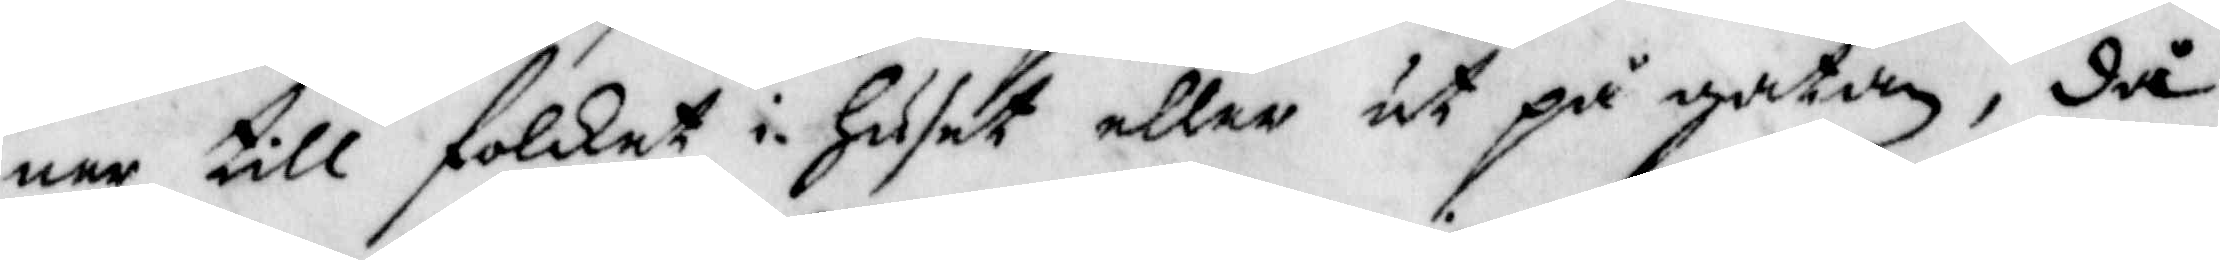ner till folket i Huset eller ut på gatan, då
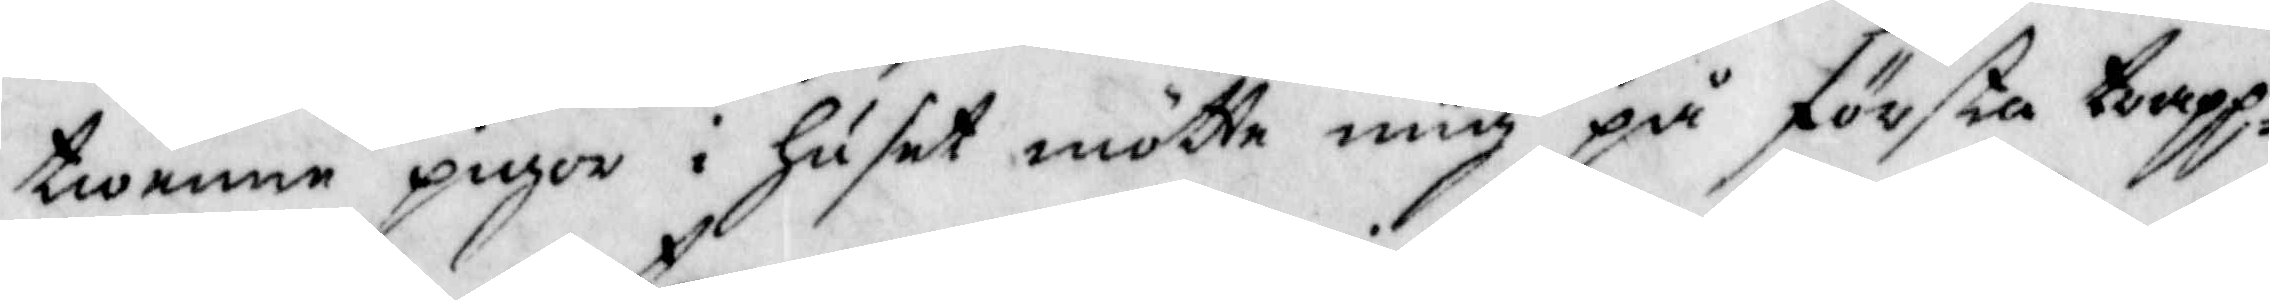twenne pigor i Huset mötte mig på första trapp¬
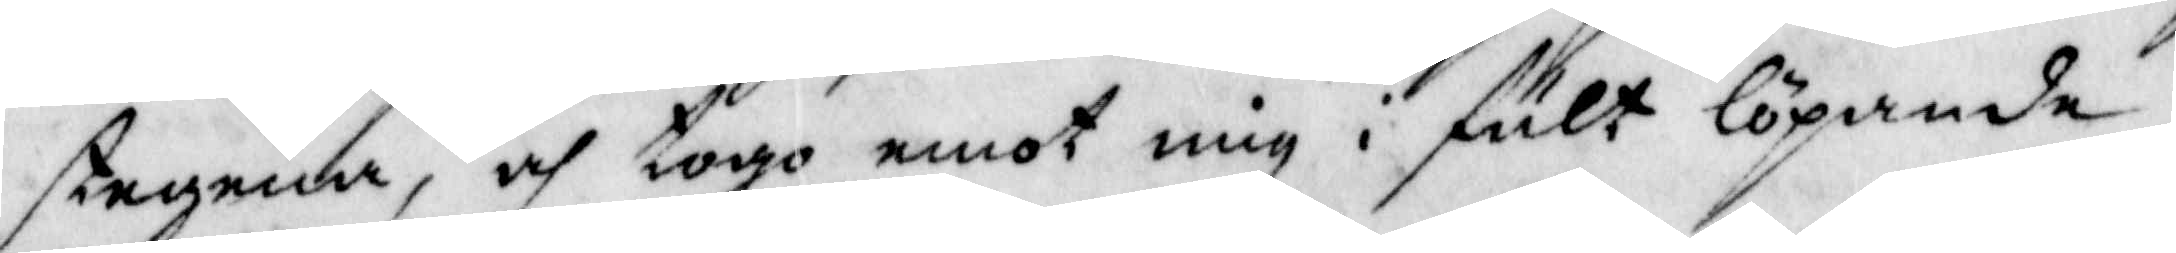stegena, och togo emot mig i fult löpande,
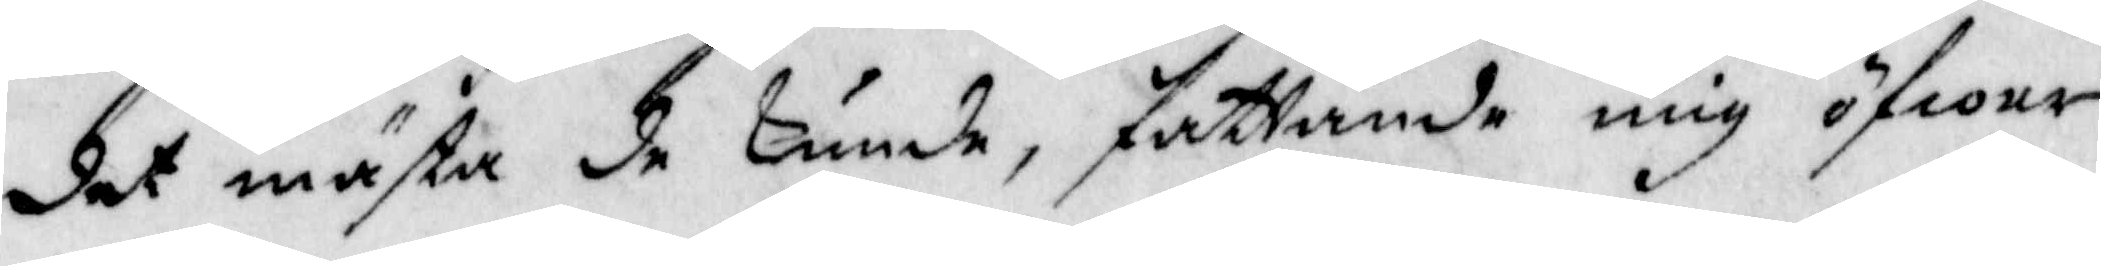det mästa de kunde, fattande mig öfwer
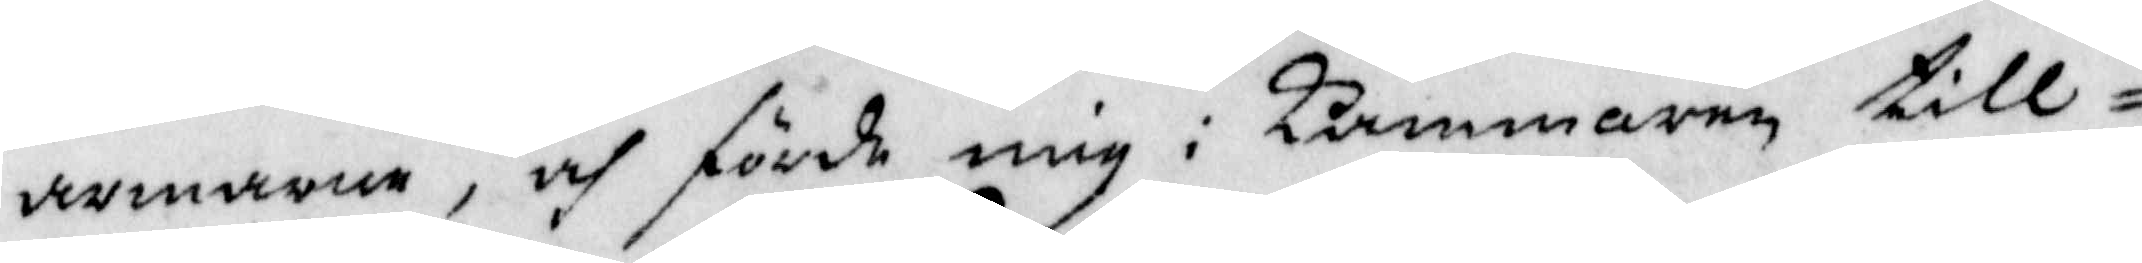armarne, och förde mig i Kammaren till¬
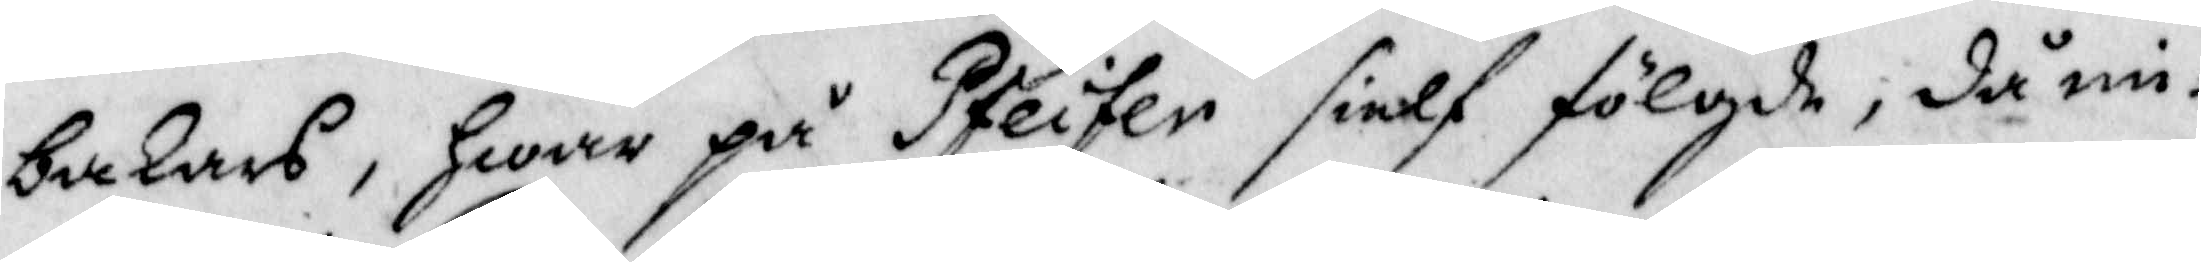bakars, Hwar på Pfeifer sielf fölgde, då mi¬
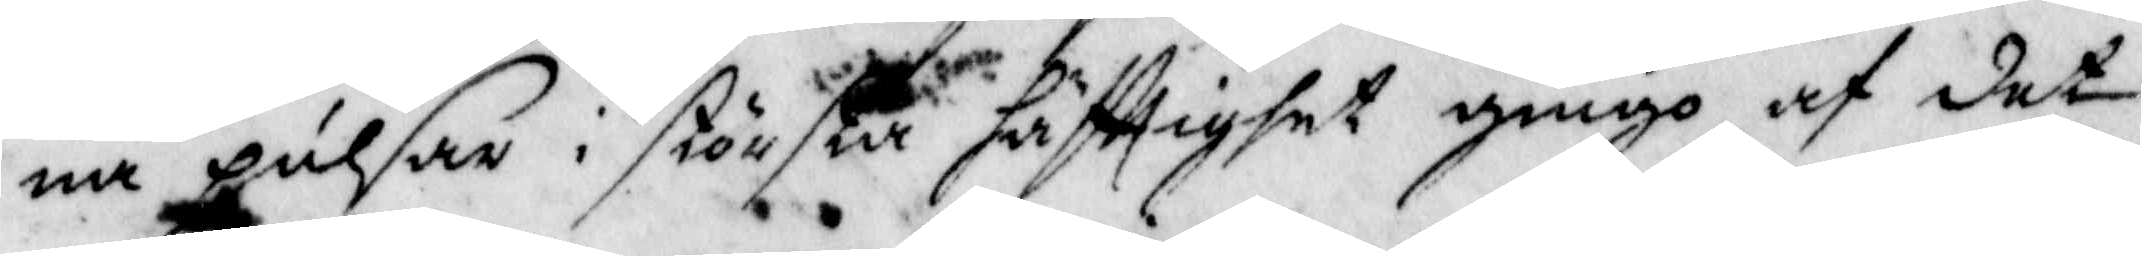na pulsar i största häfttighet gingo af det
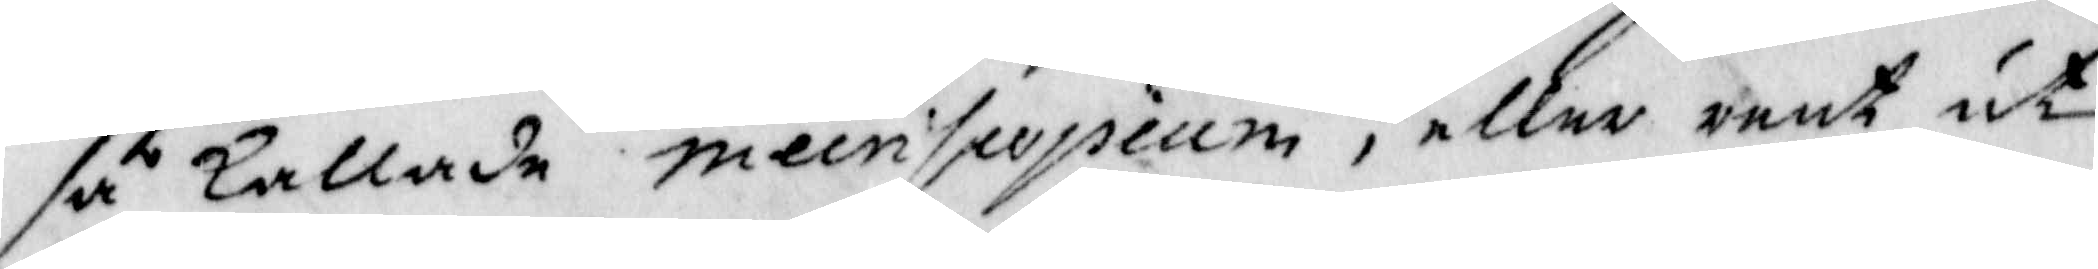så kallade meinpopium, eller rent ut¬
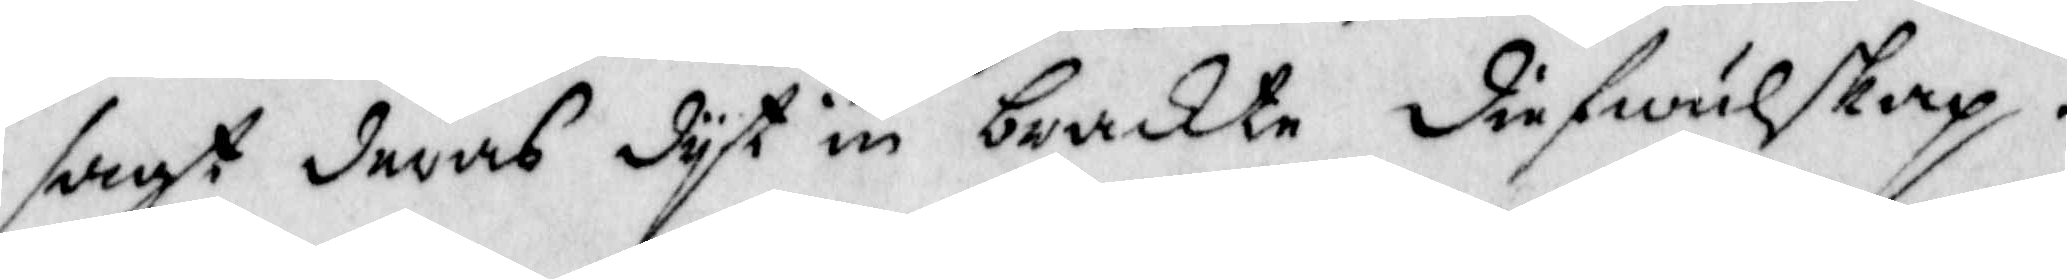sagt deras dyt in brakte diefwulskap.
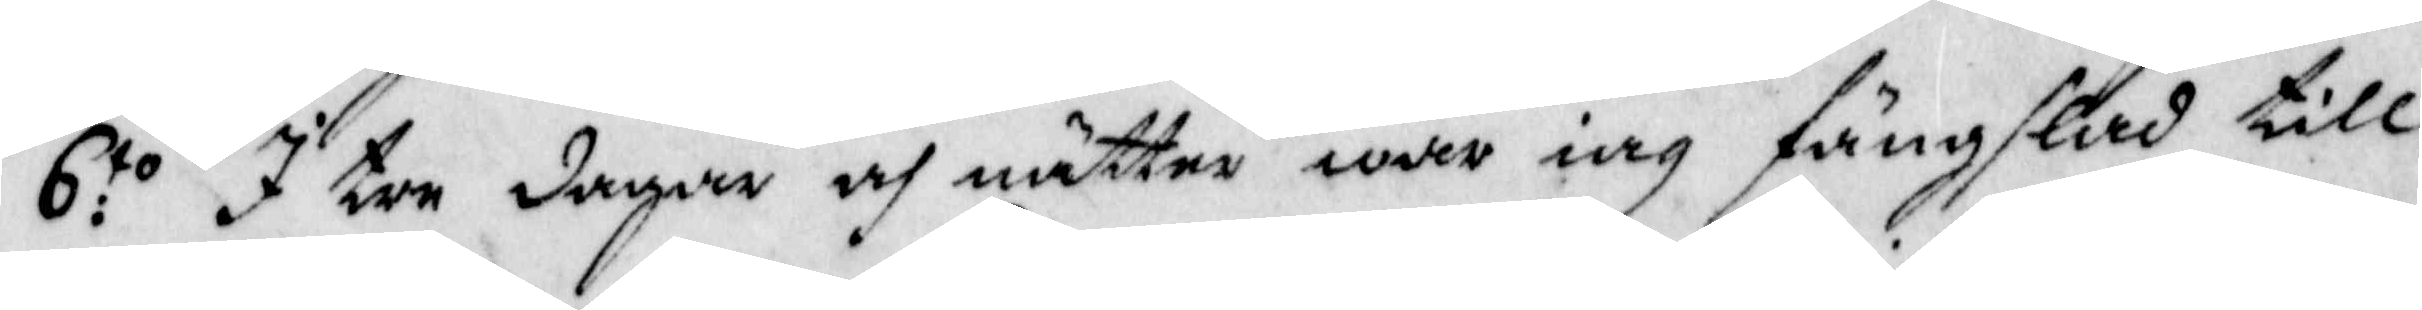6:to I tre dagar och nätter war iag fängslad till
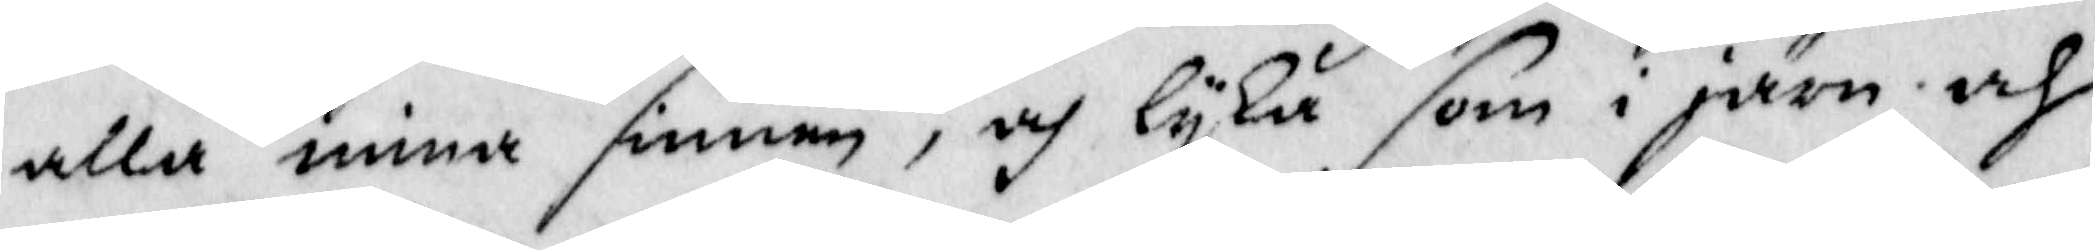alla mina sinnen, och lyka som i järn och
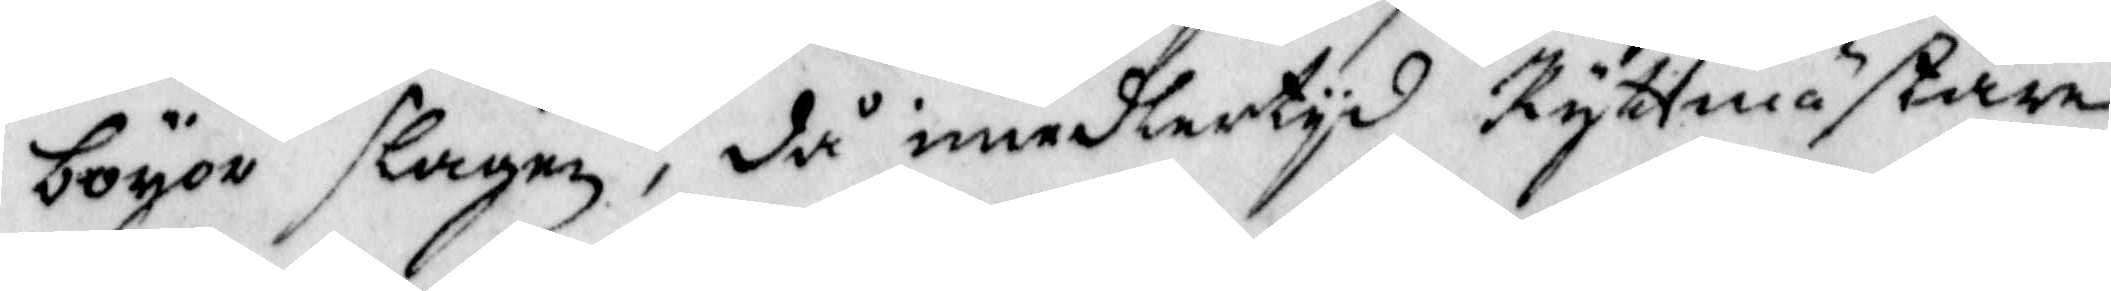boyor slagen, då imedlertyd Ryttmästare
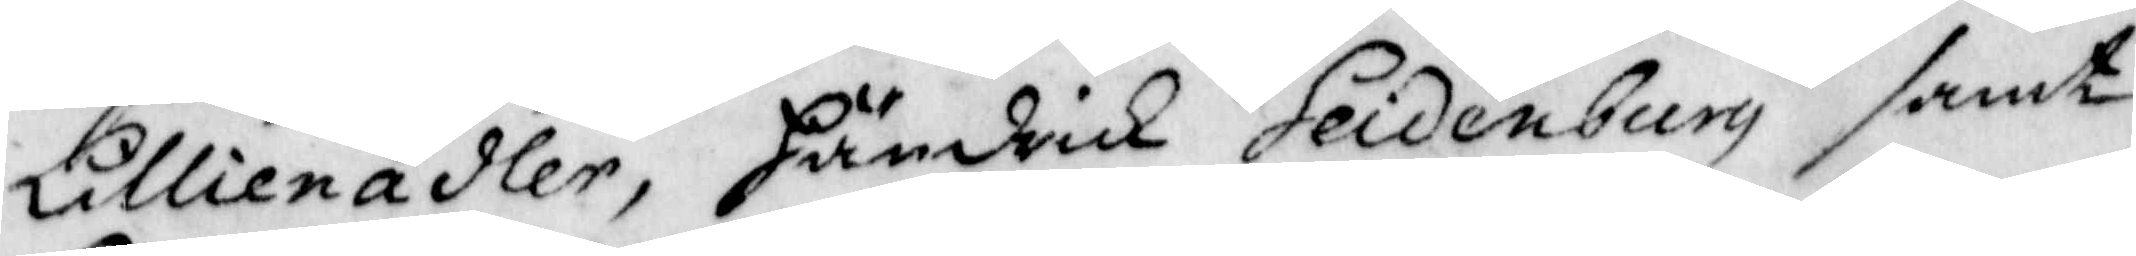Lillienadler, Händrik Seidenburg samt
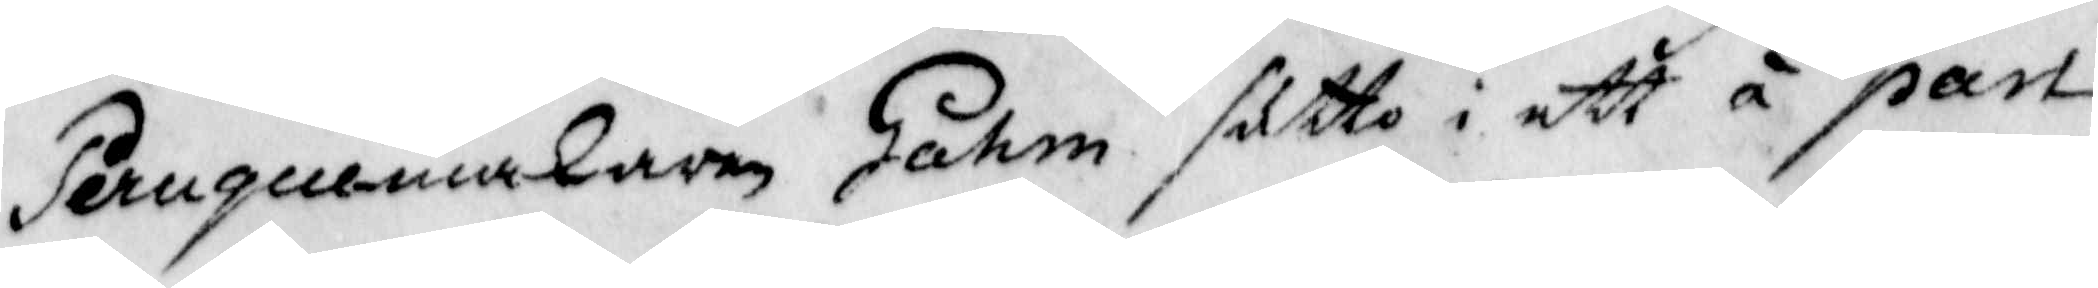Peruqemakaren Gahm sutto i ett å part¬
